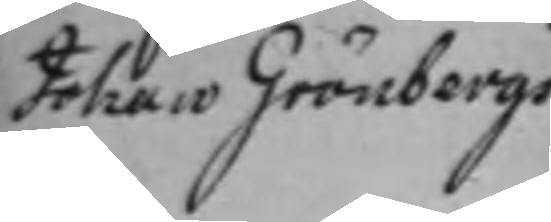Johan Grönbergs
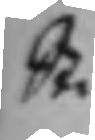St.
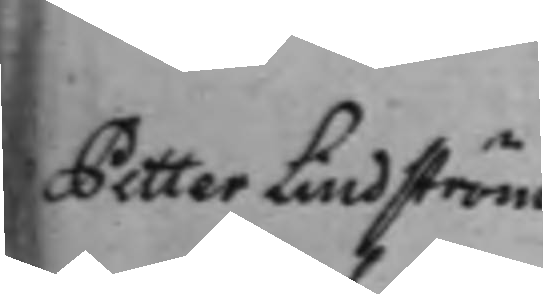Petter Lindström
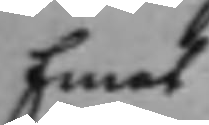Emot
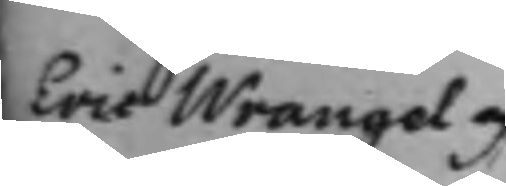Eric Wrangel och
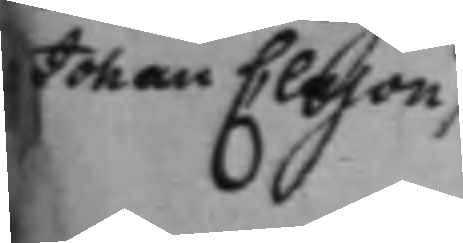Johan Clason.
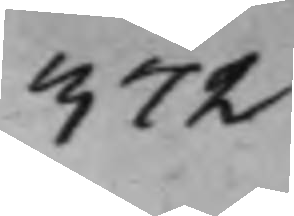372
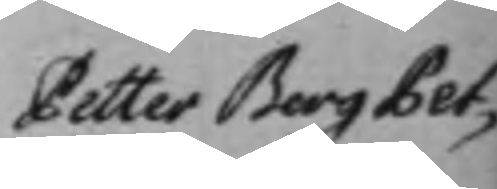Petter Berg Pet¬
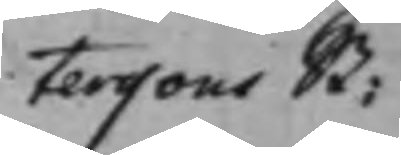terssons St:
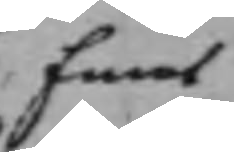Emot
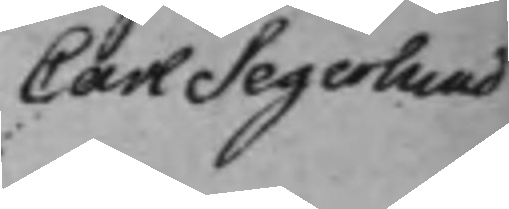Carl Segerlund
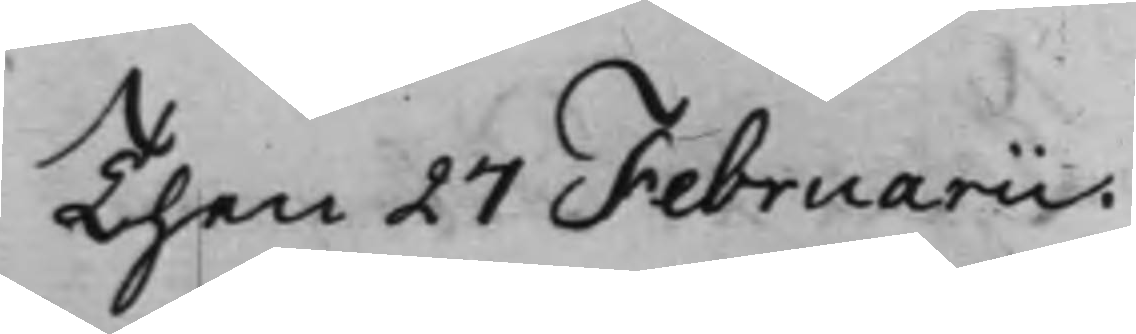Then 27 Februarii.
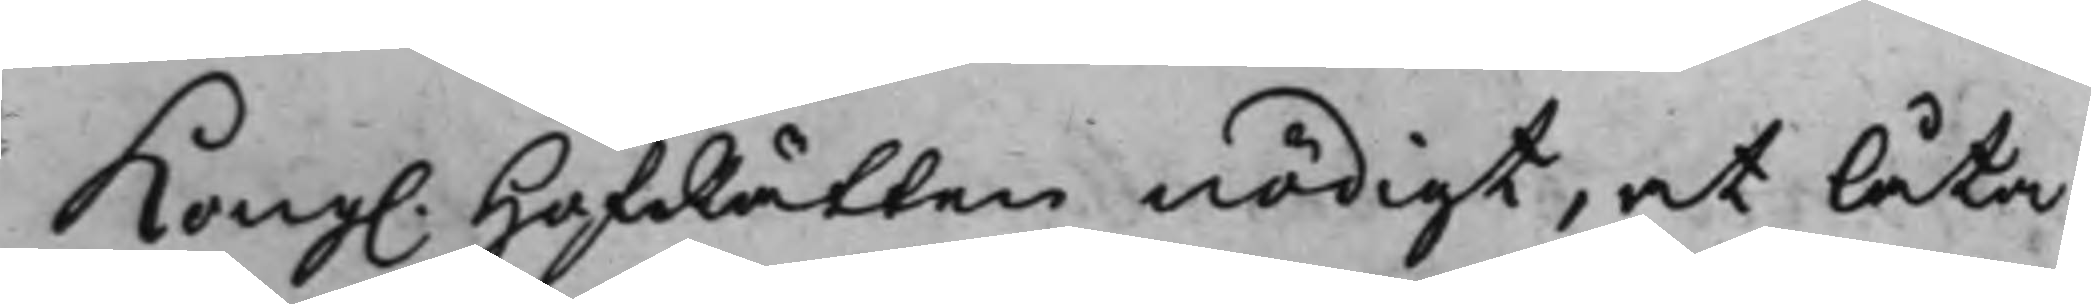Kong. HofRätten nödigt, at låta
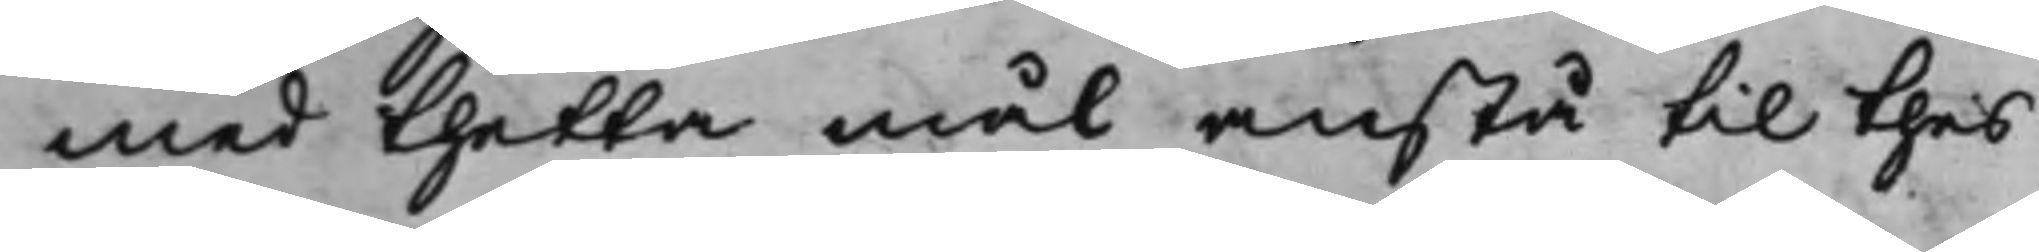med thetta mål anstå til thes
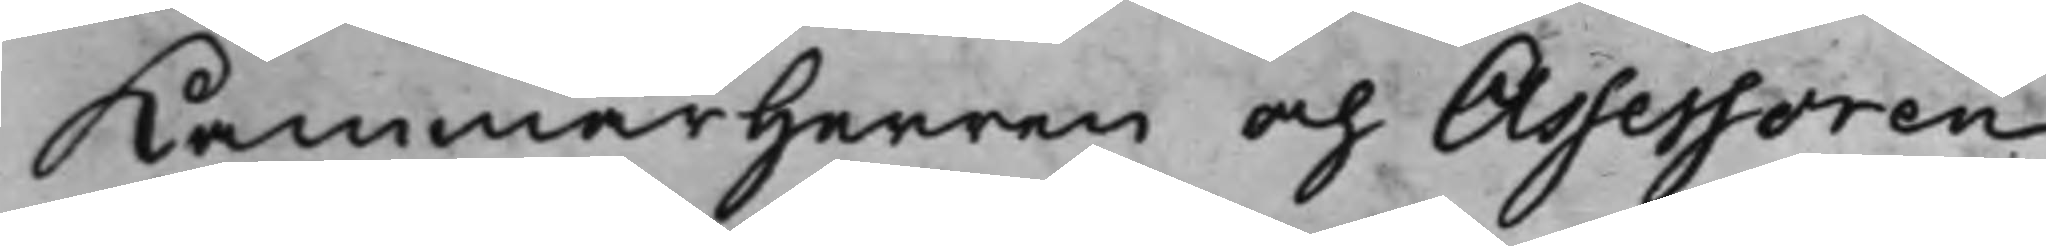Kammarherren och Assessoren
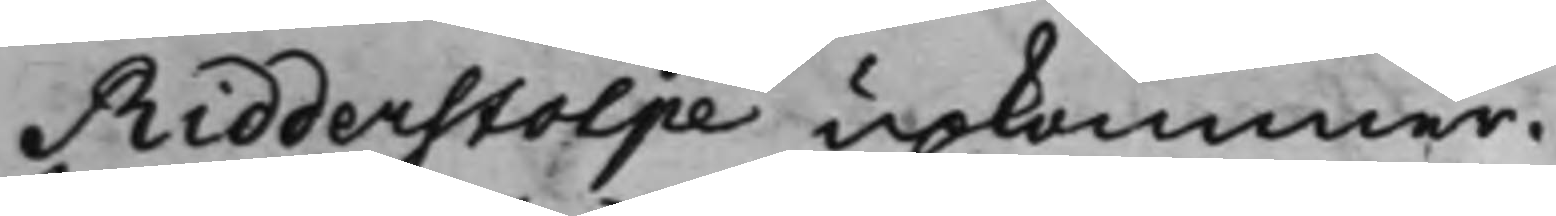Ridderstolpe upkommer.
